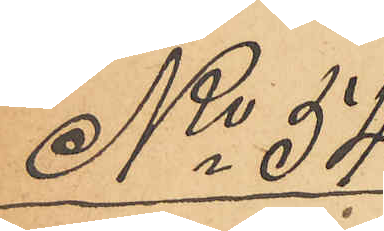No 54
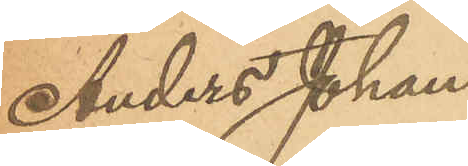Anders Johans¬
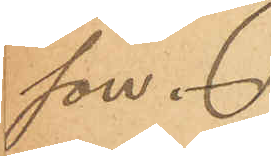son.
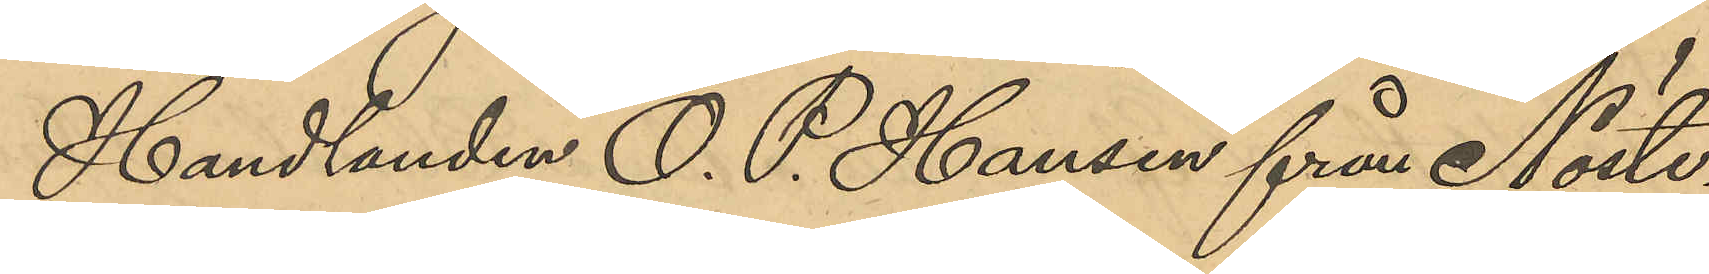Handlanden O. P. Hansen från Nöste¬
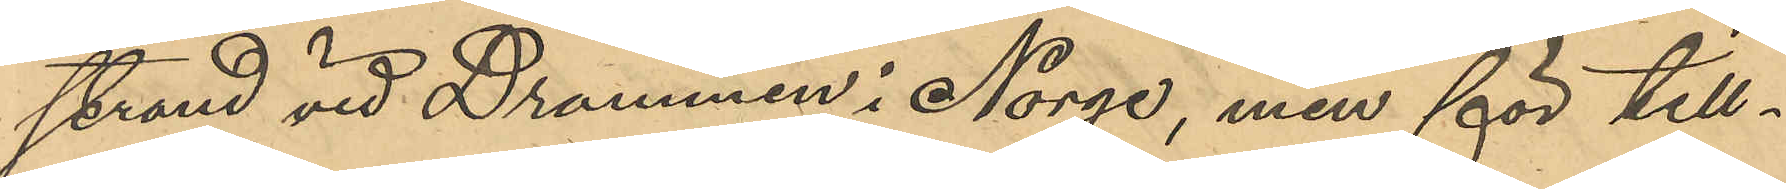strand vid Drammen i Norge, men för till¬
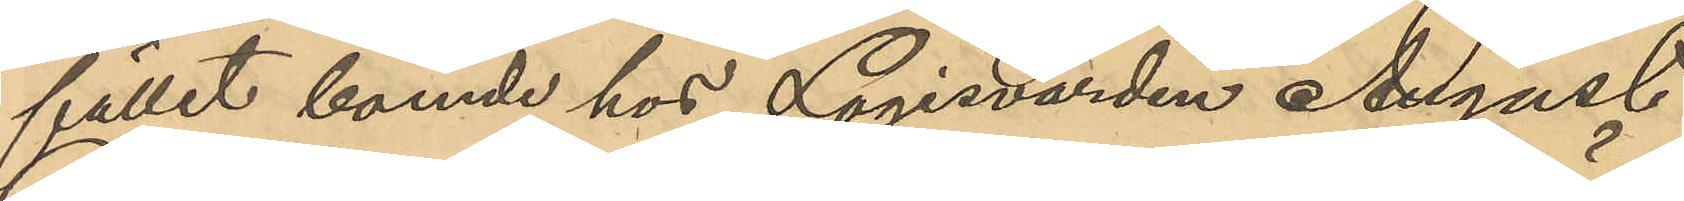fället boende hos Logisvärden August
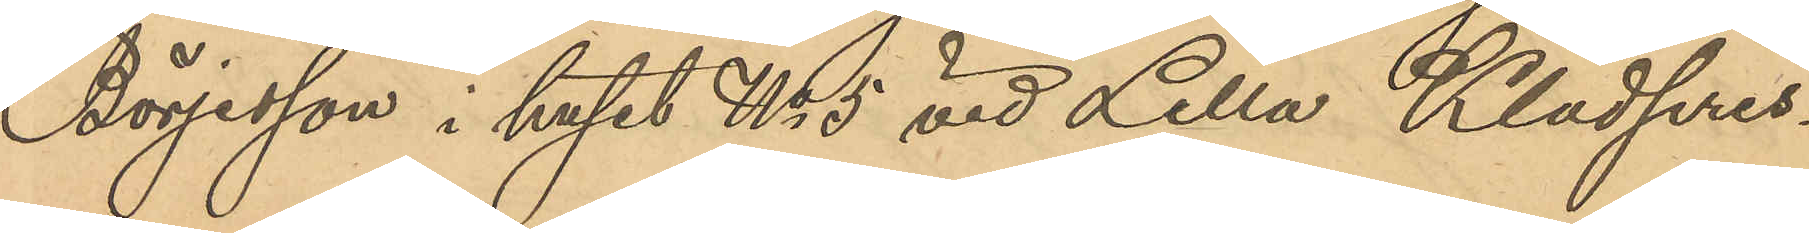Börjesson i huset No 5 vid Lilla Klädpres¬
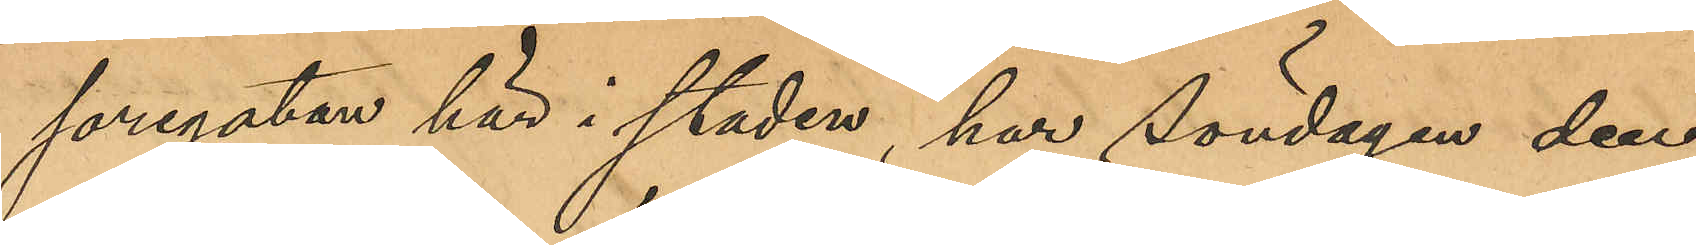saregatan här i staden, har Söndagen den
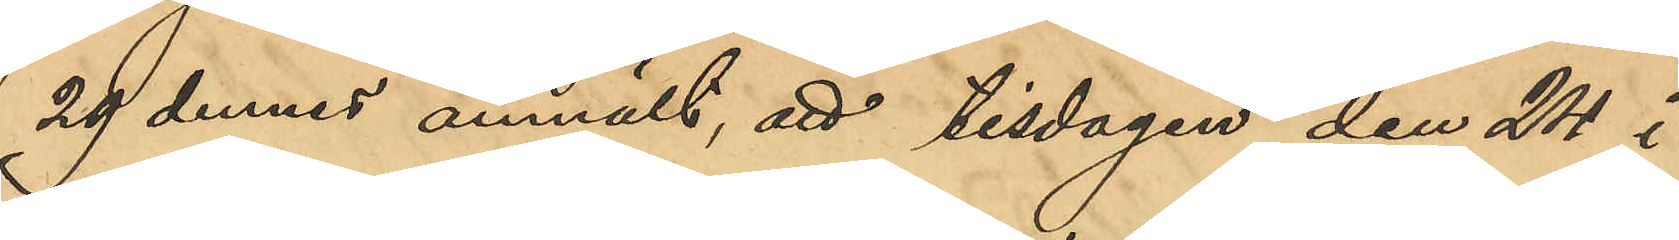29 dennes anmält, att han tisdagen den 24 i 
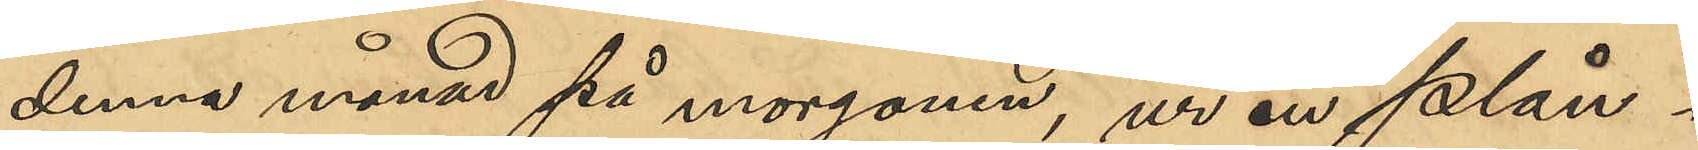denna månad på morgonen, ur en plån¬
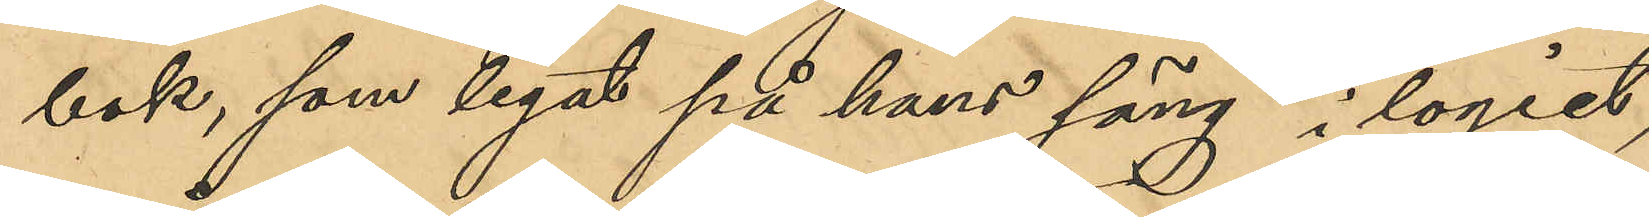bok, som legat på hans säng i logiet,
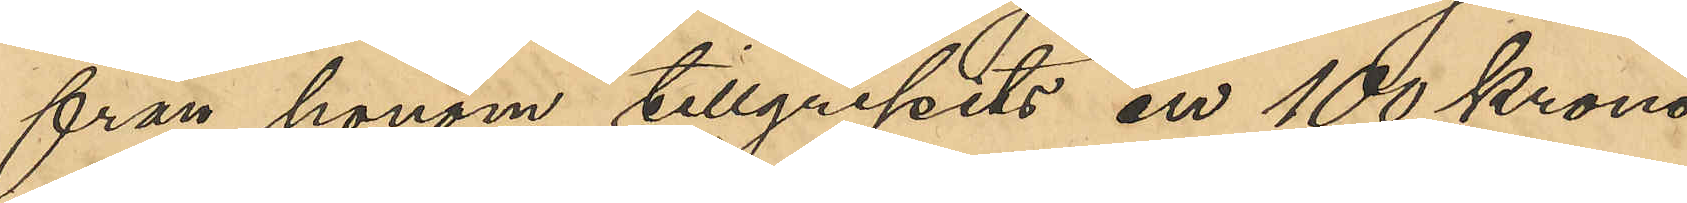från honom tillgripits en 100 krono¬
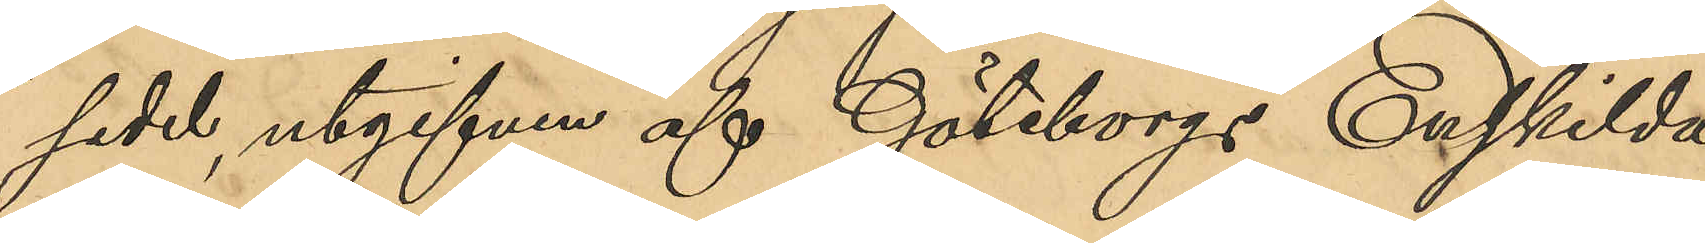sedal, utgifven af Göteborgs Enskilda
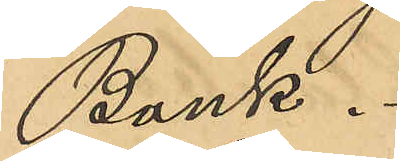Bank.
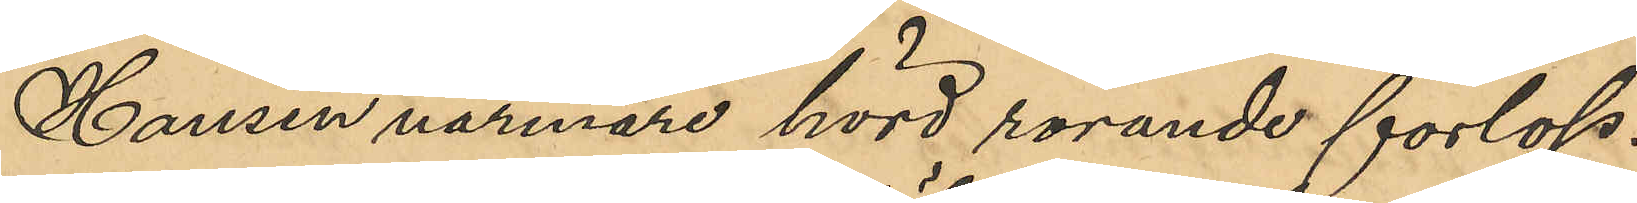Hansen närmare hörd rörande förlop¬
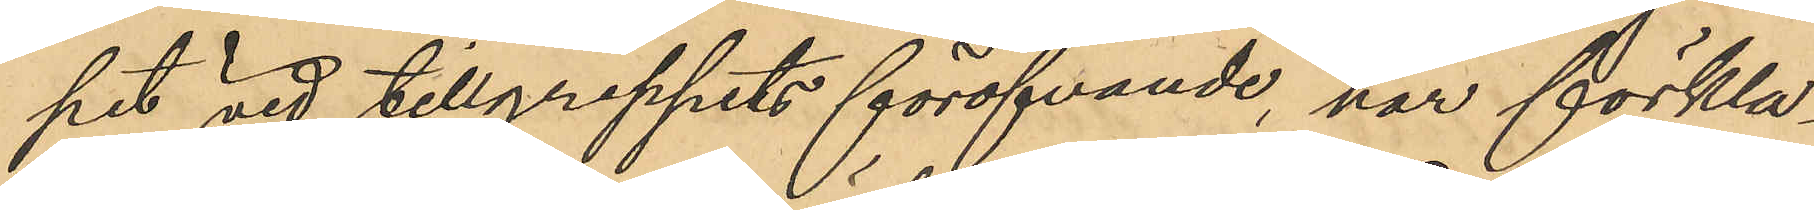pet vid tillgreppets föröfvande har förkla¬
